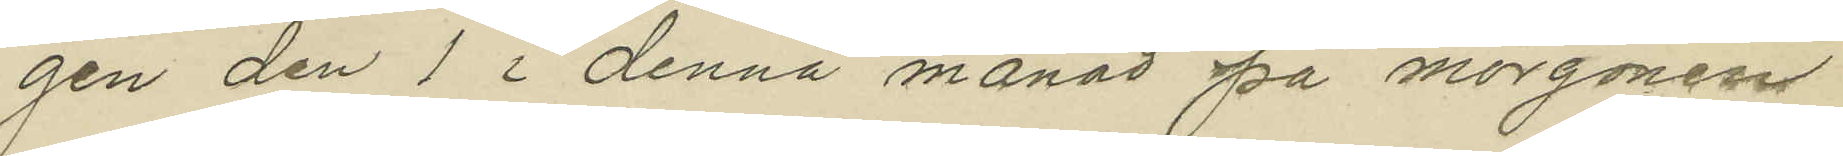gen den 1 i denna månad på morgonen
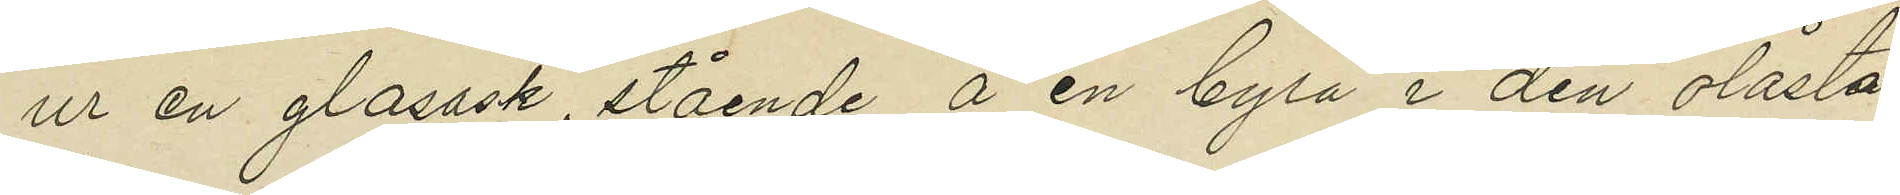ur en glasask, stående å en byrå i den olåsta
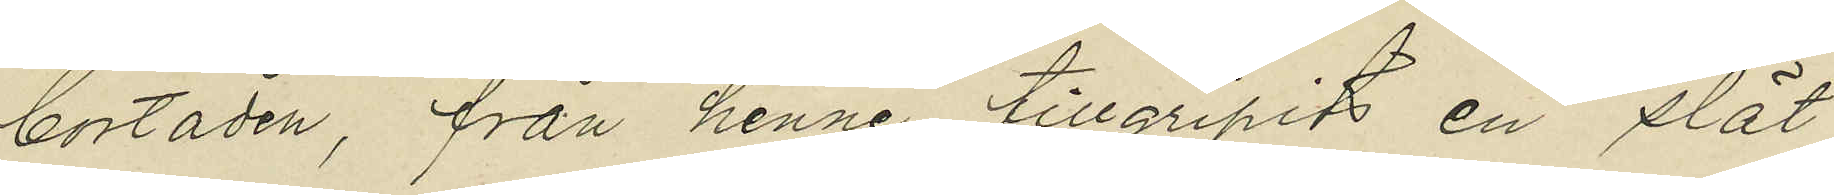bostaden, från henne tillgripits en slät
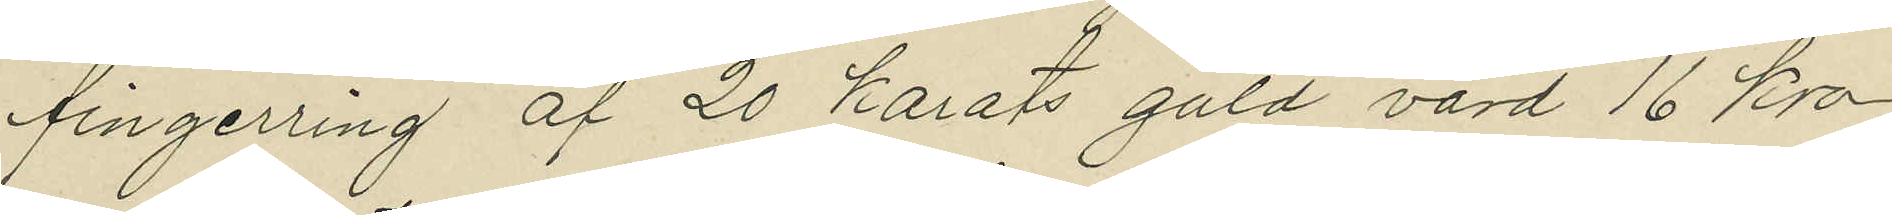fingerring af 20 karats guld värd 16 kro¬
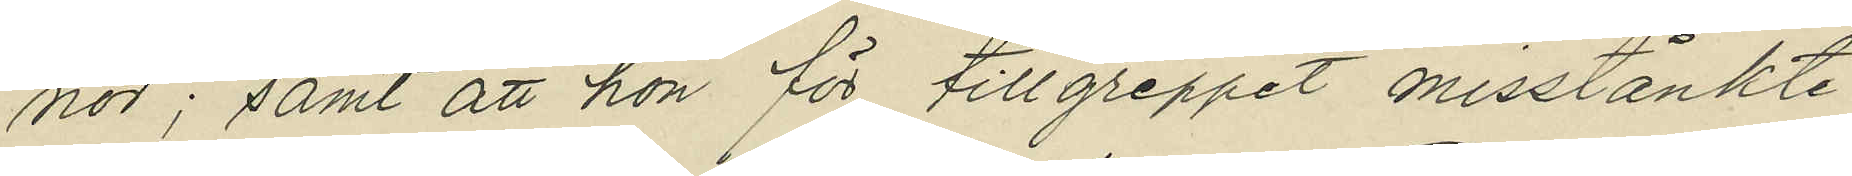nor; samt att hon för tillgreppet misstänkte
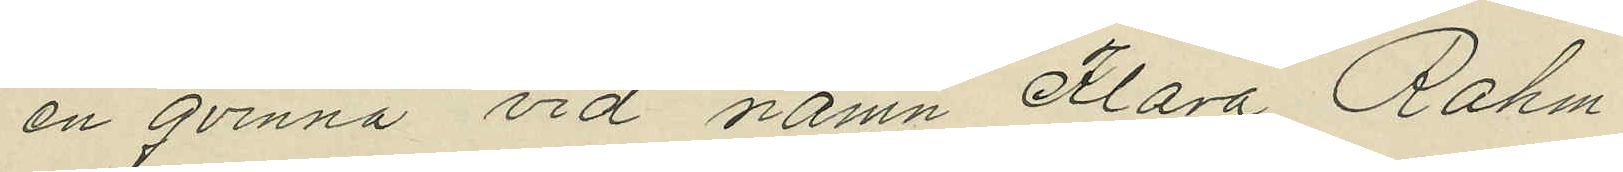en qvinna vid namn Klara Rahm.
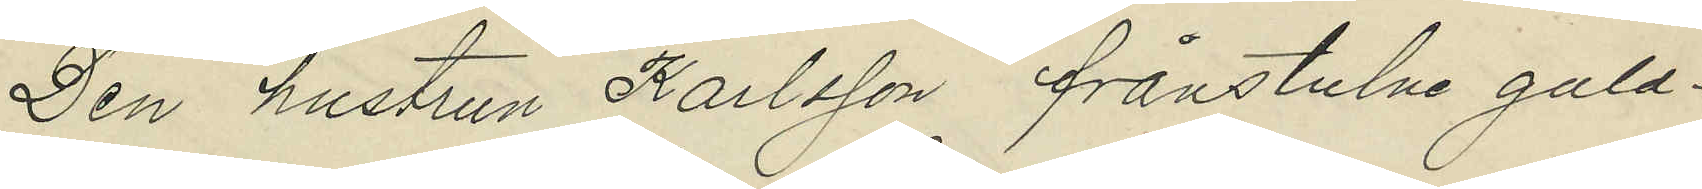Den hustrun Karlsson frånstulne guld¬
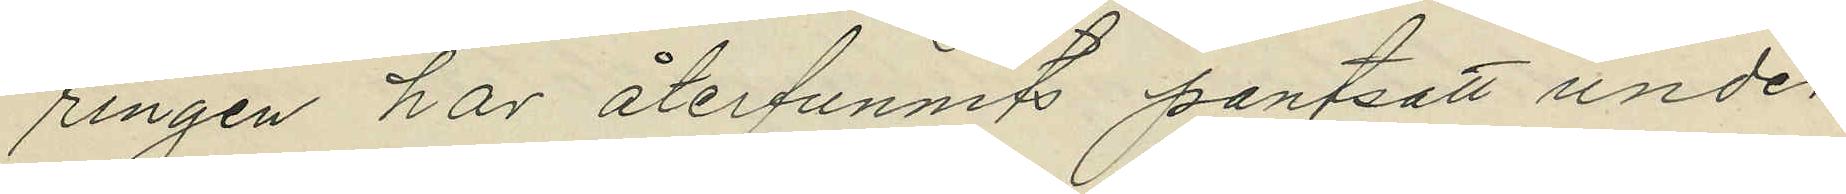ringen har återfunnits pantsatt under
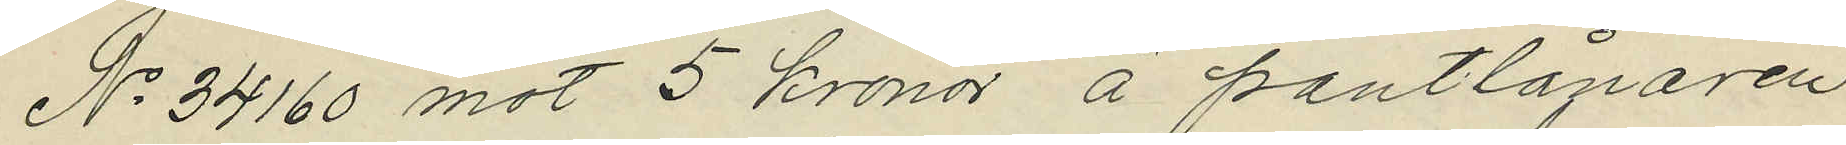No 34160 mot 5 kronor å pantlånaren
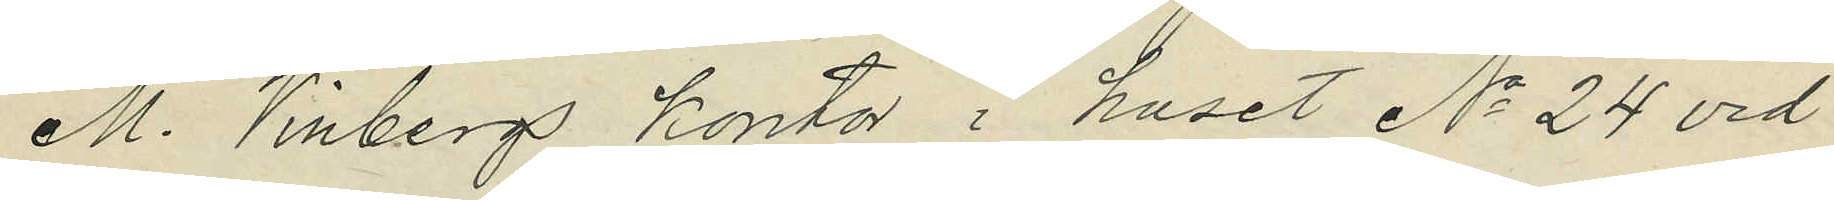M. Vinbergs kontor i huset No 24 vid
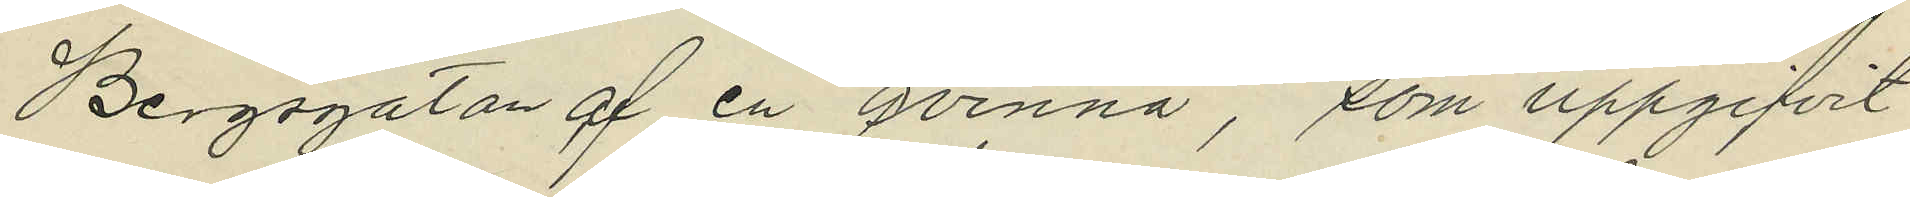Bergsgatan af en qvinna, som uppgifvit
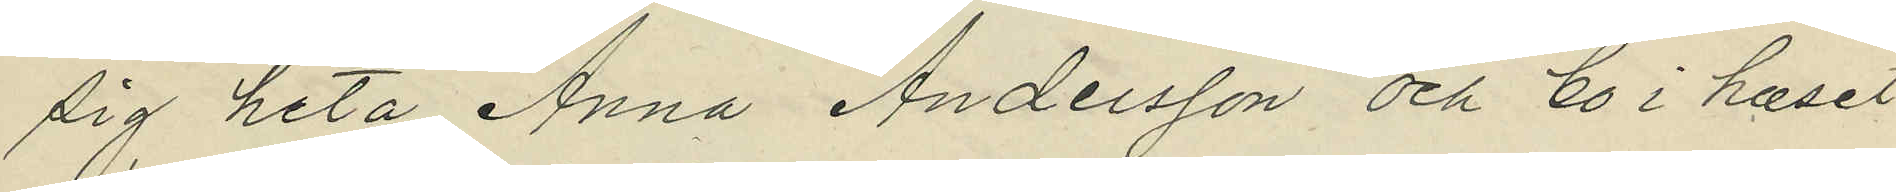sig heta Anna Andersson och bo i huset
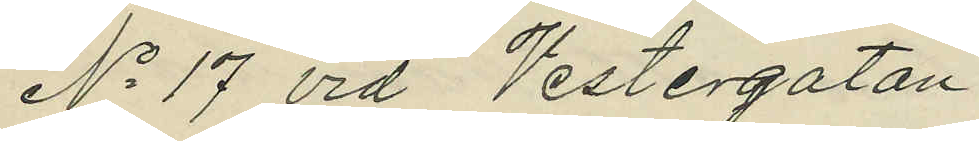No 17 vid Vestergatan.
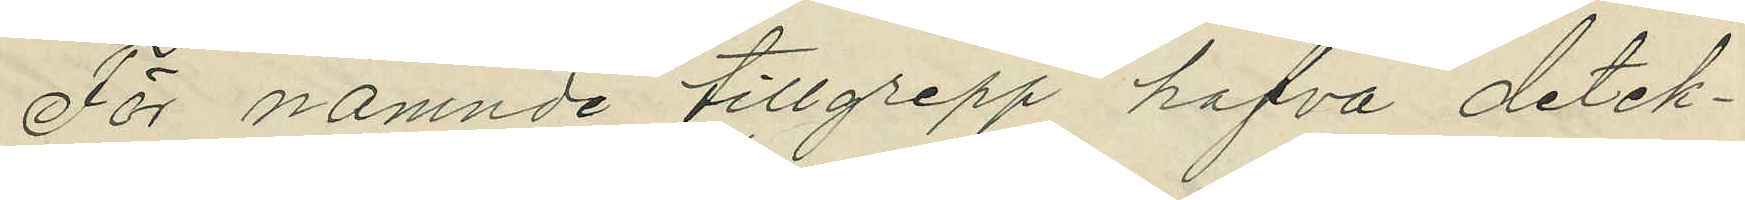För nämnde tillgrepp hafva detek¬
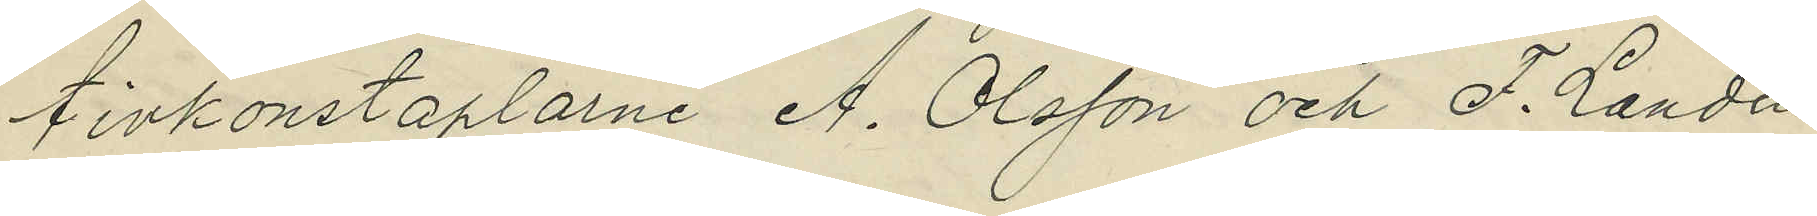tivkonstaplarne A. Olsson och F. Landin
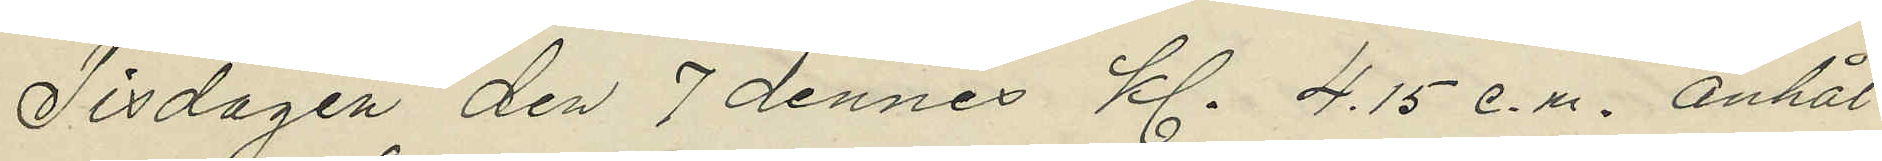Tisdagen den 7 dennes Kl. 4.15 e.m. anhål¬
